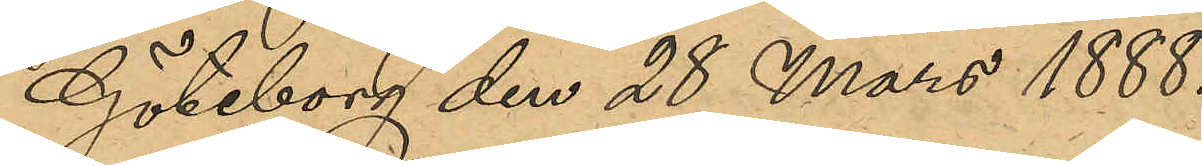Göteborg den 28 Mars 1888.
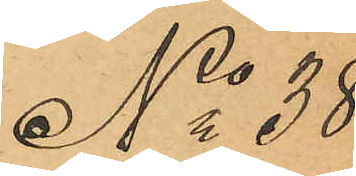No 38 
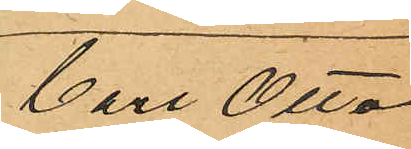Carl Otto
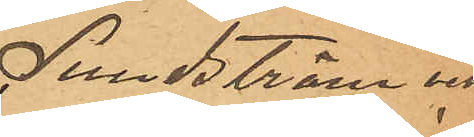Lundström och
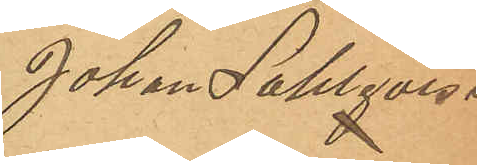Johan Sahlqvist
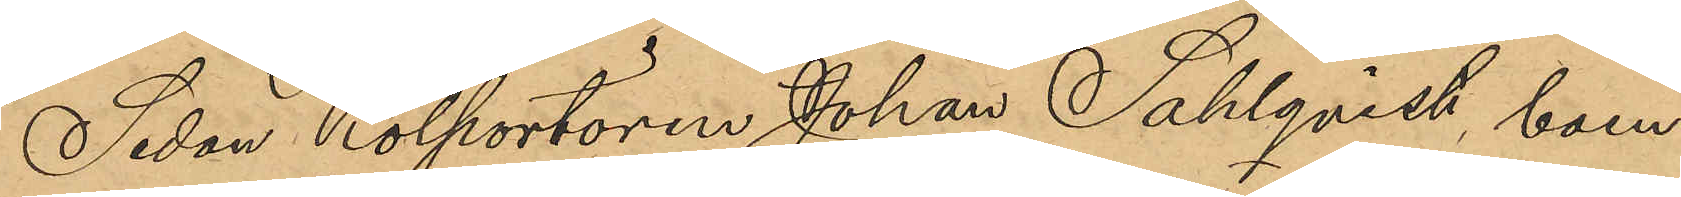Sedan Kolportören Johan Sahlqvist boen¬
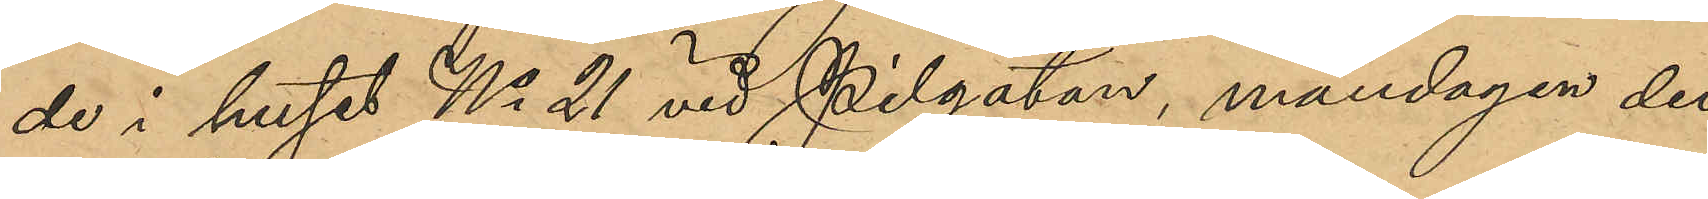de i huset No 21 vid Pilgatan, måndagen den
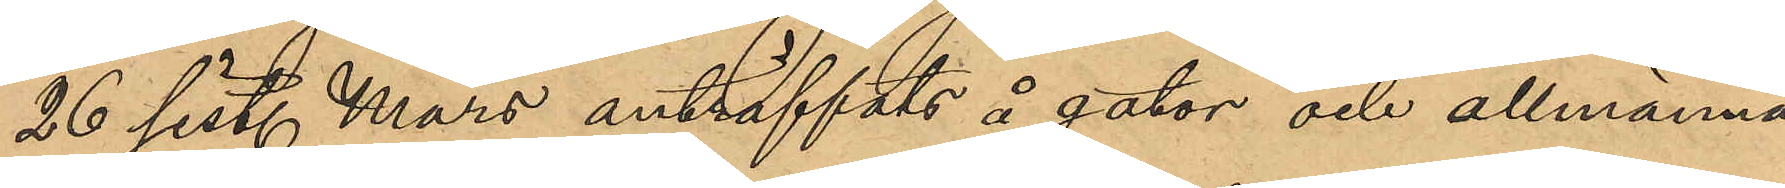26 sist. Mars anträffats å gator och allmänna
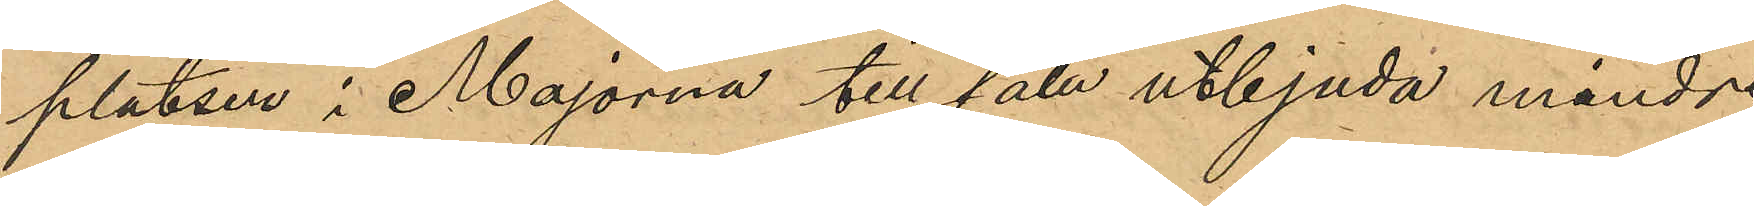platser i Majorna till salu utbjuda mindre
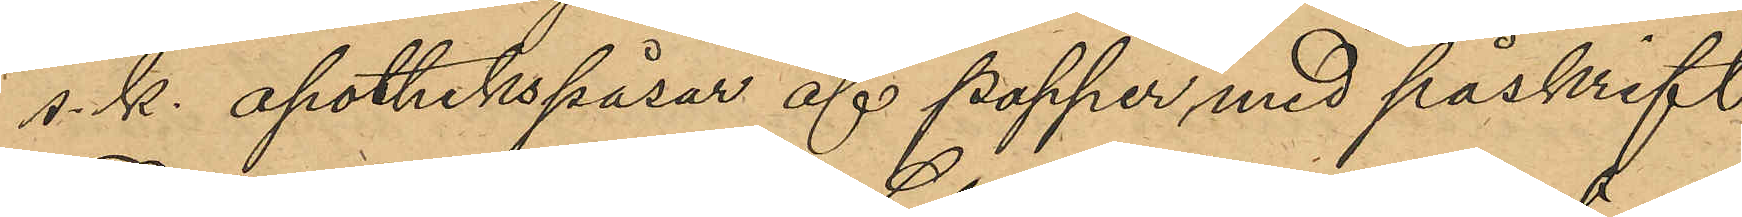s.k. apothekspåsar af papper med påskrift
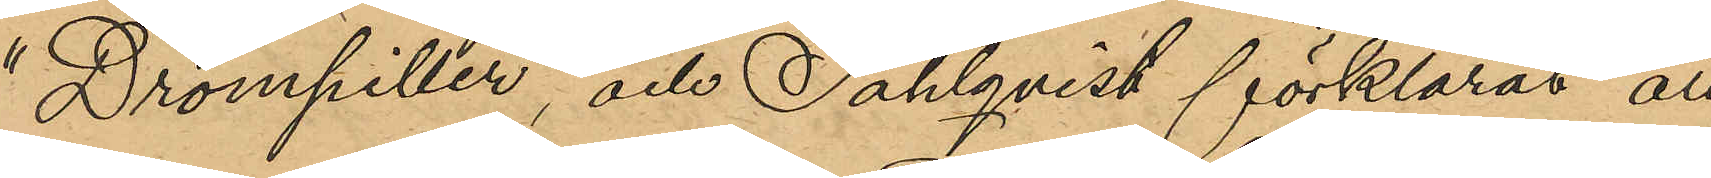"Drömpiller", och Sahlqvist förklarat att
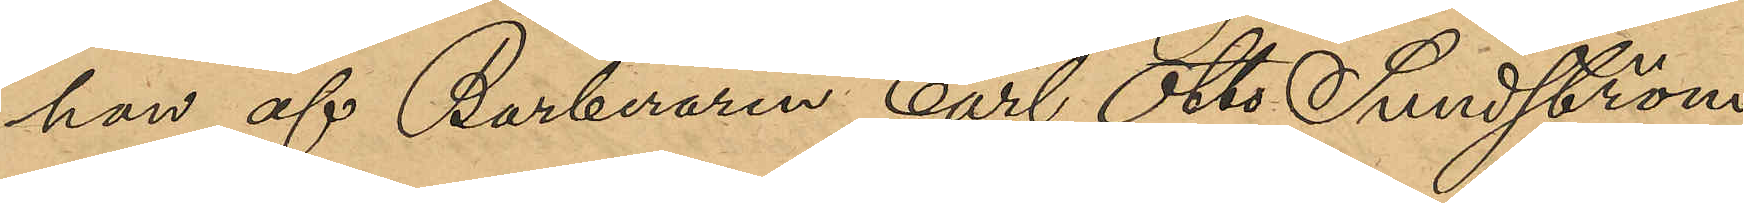han af Barberaren Carl Otto Sundström,
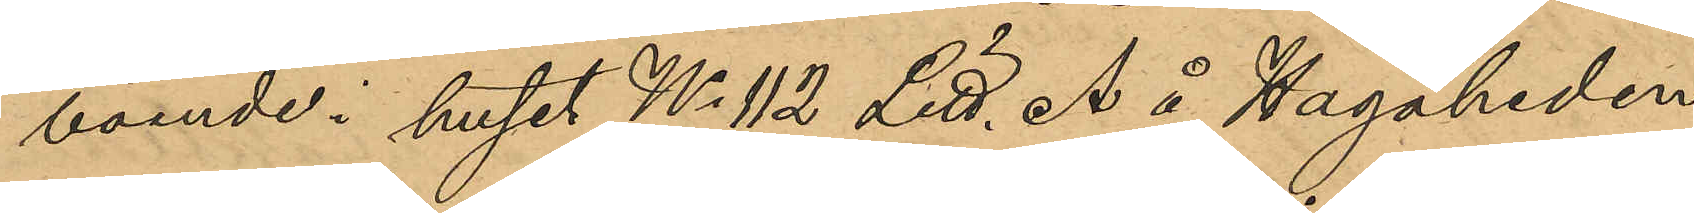boende i huset No 112 Litt. å Hagaheden,
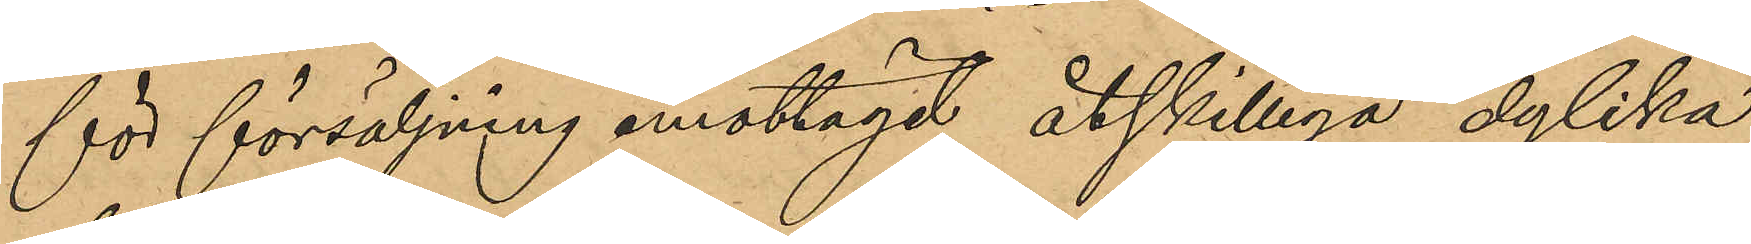för försäljning emottagit åtskilliga dylika
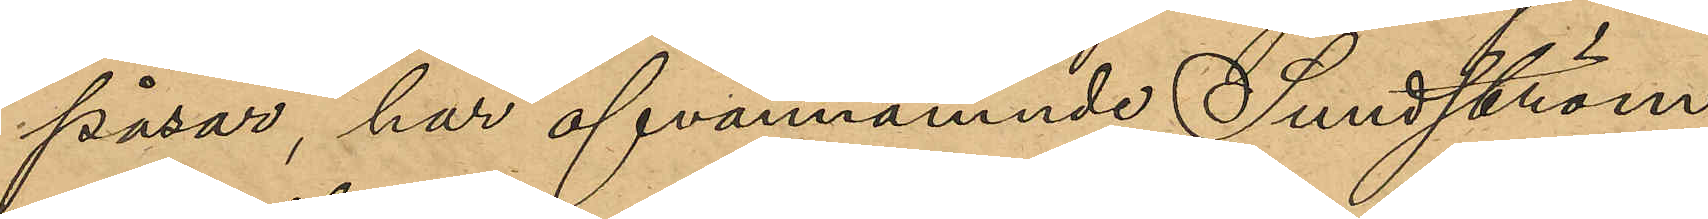påsar, har ofvannämnde Sundström
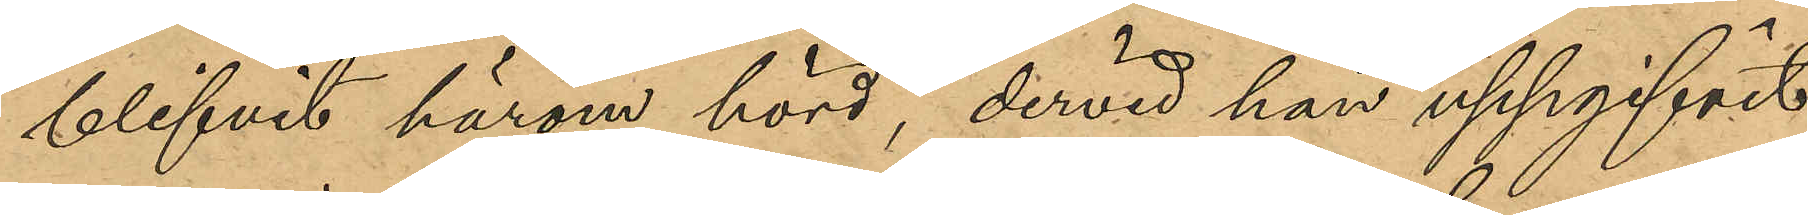blifvit härom hörd, dervid han uppgifvit
